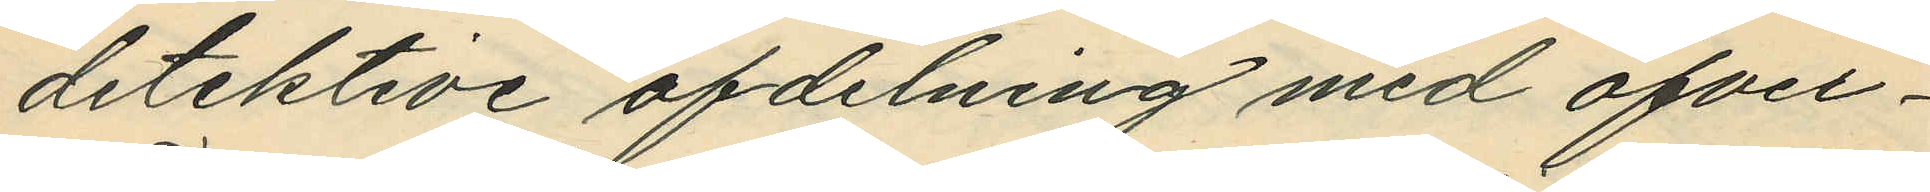detektive afdelning med öfver¬
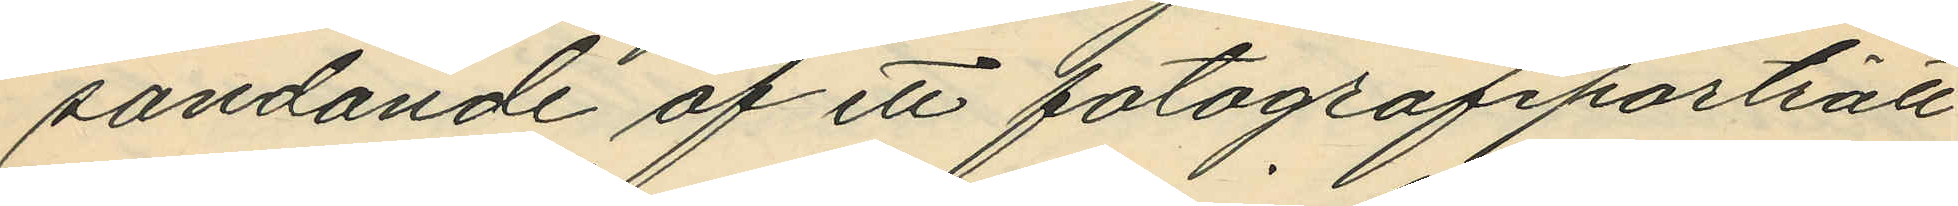sändande af ett fotografiporträtt
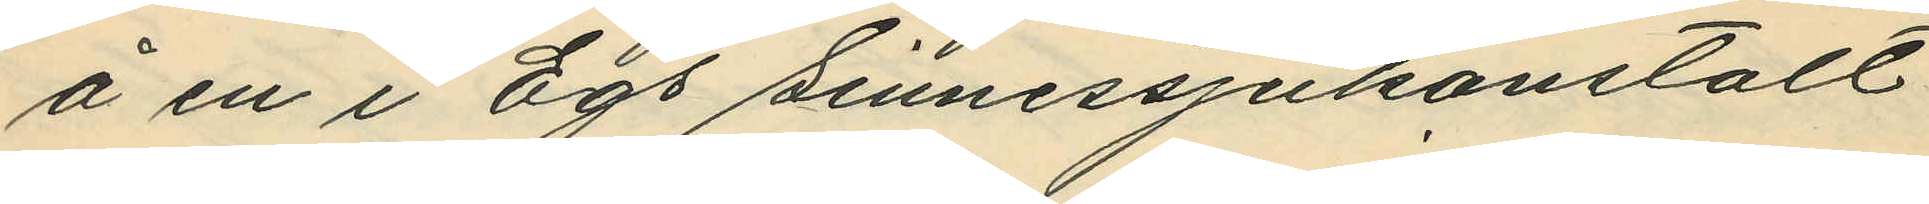å en i Egs sinnessjukanstalt
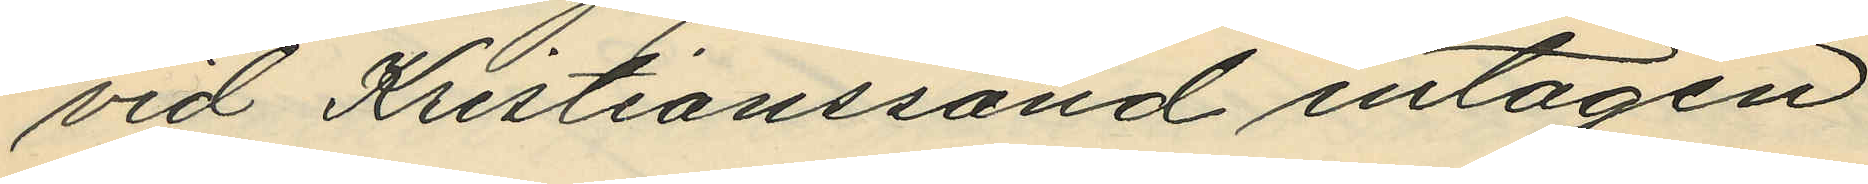vid Kristianssand intagen
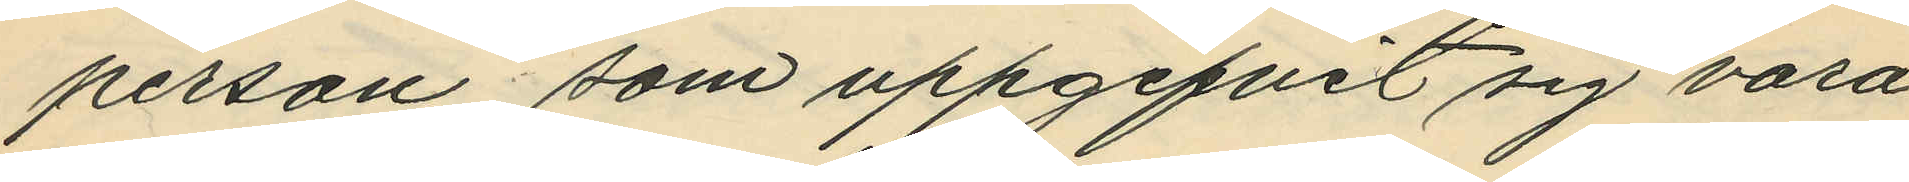person som uppgifvit sig vara
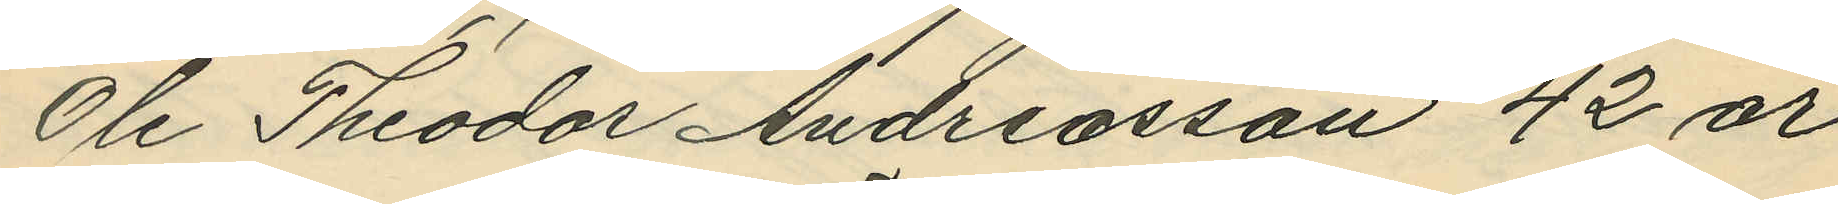Ole Theodor Andreasson 42 år
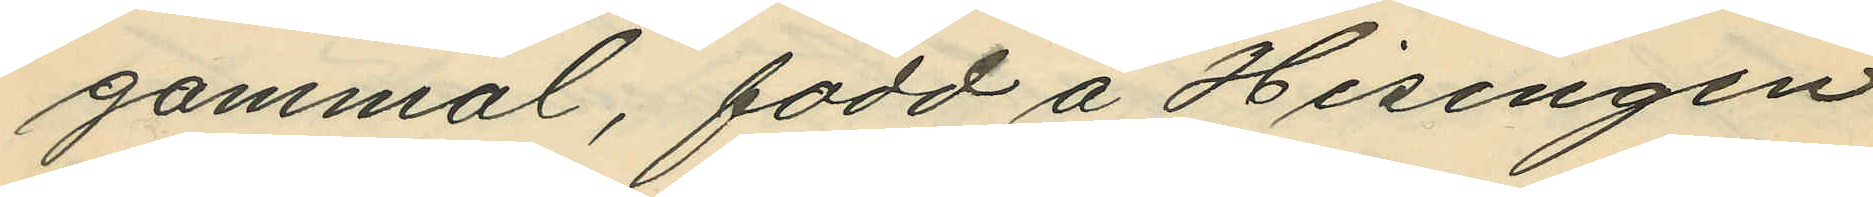gammal, född å Hisingen
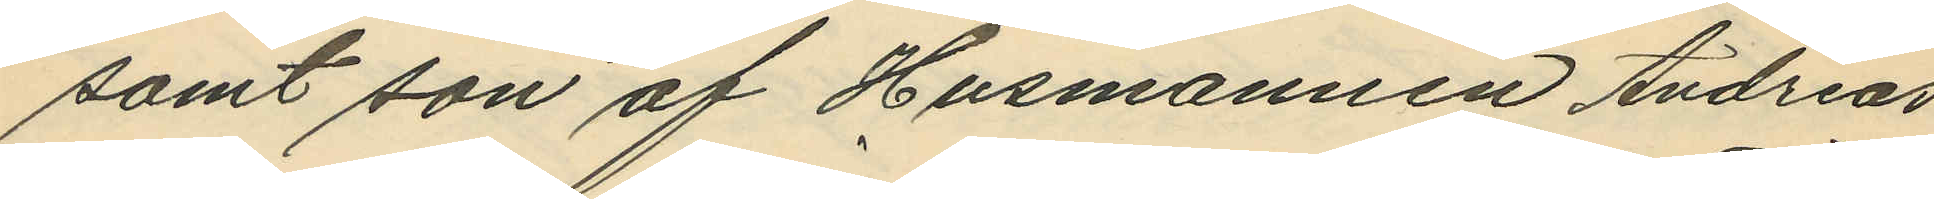samt son af Husmannen Andreas
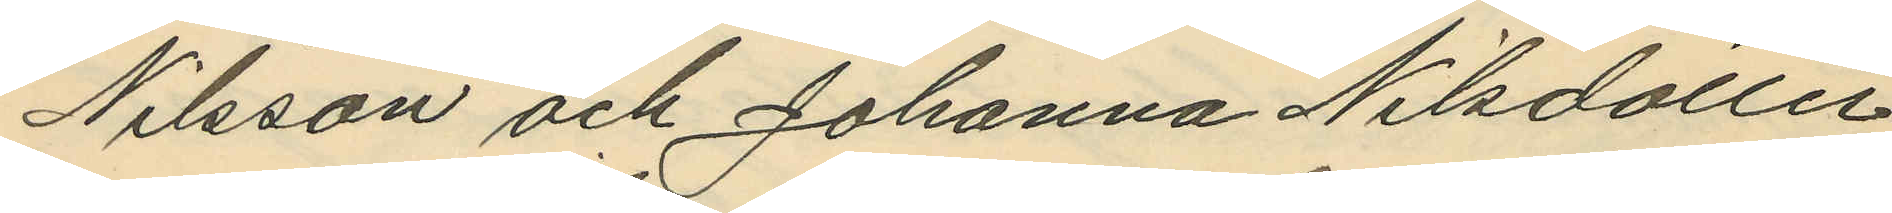Nilsson och Johanna Nilsdotter
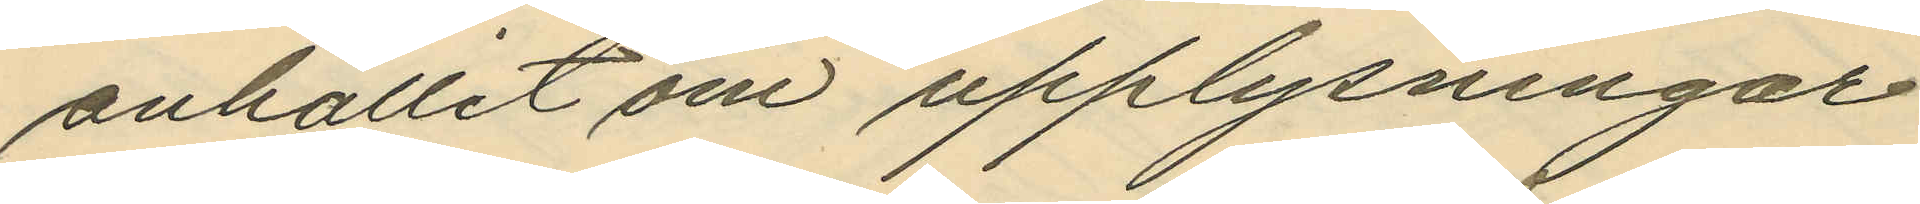anhållit om upplysningar
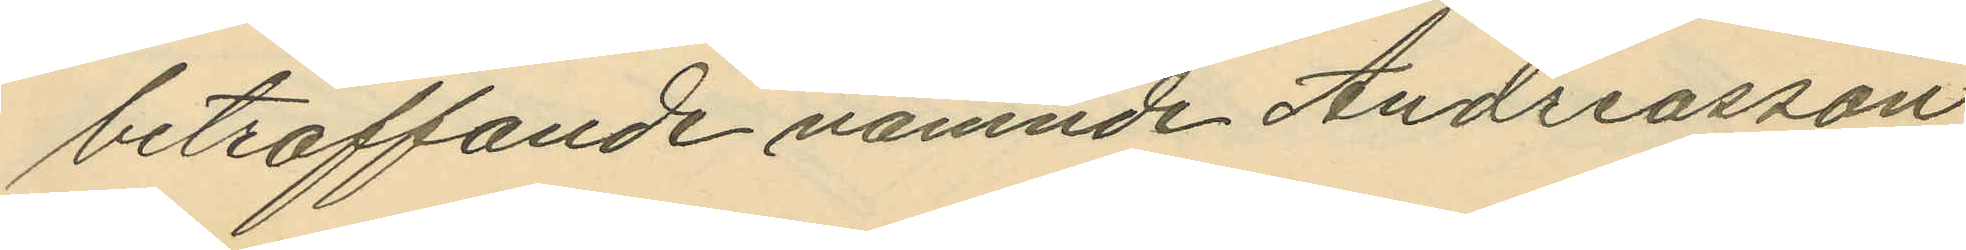beträffande nämnde Andreasson
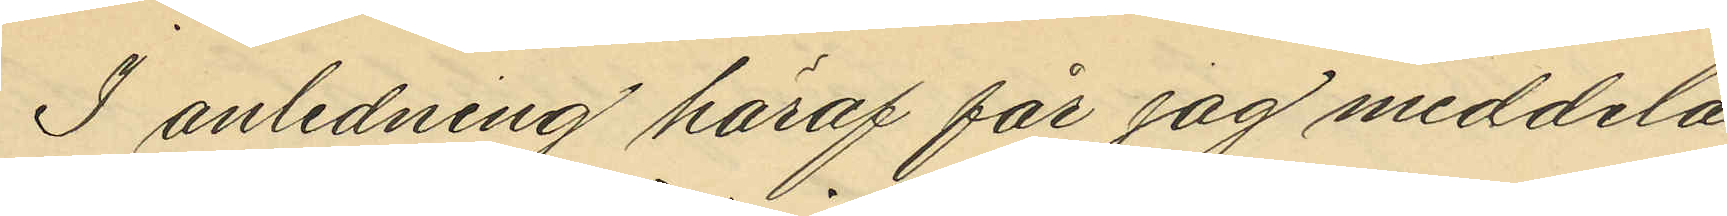I anledning häraf får jag meddela
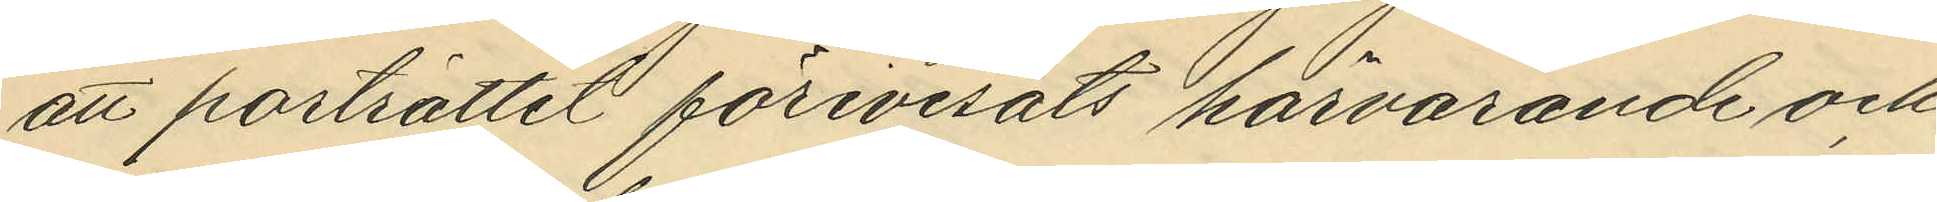att porträttet förevisats härvarande och
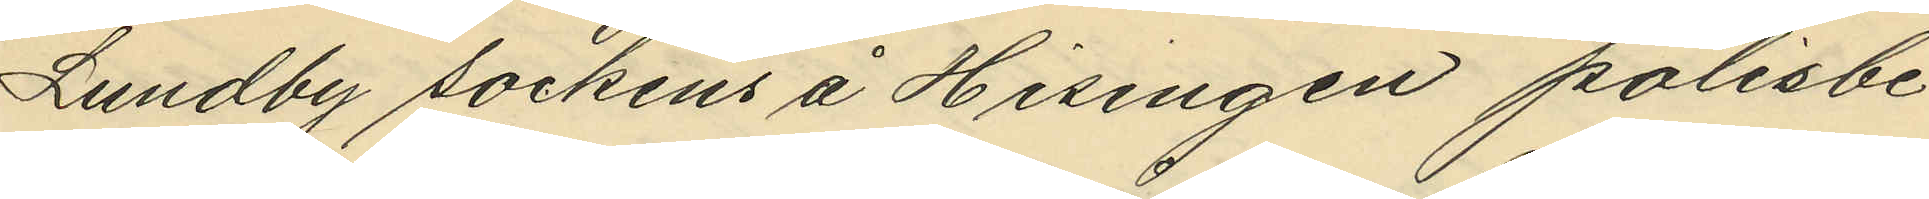Lundby sockens å Hisingen polisbe¬
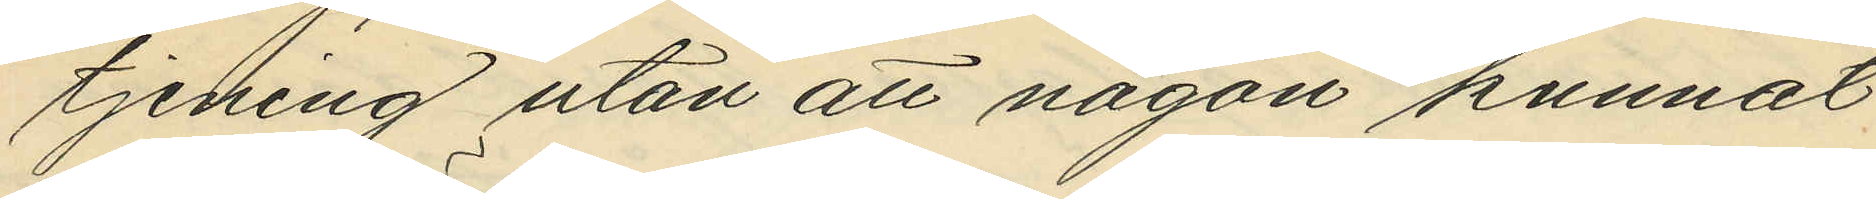tjening utan att någon kunnat
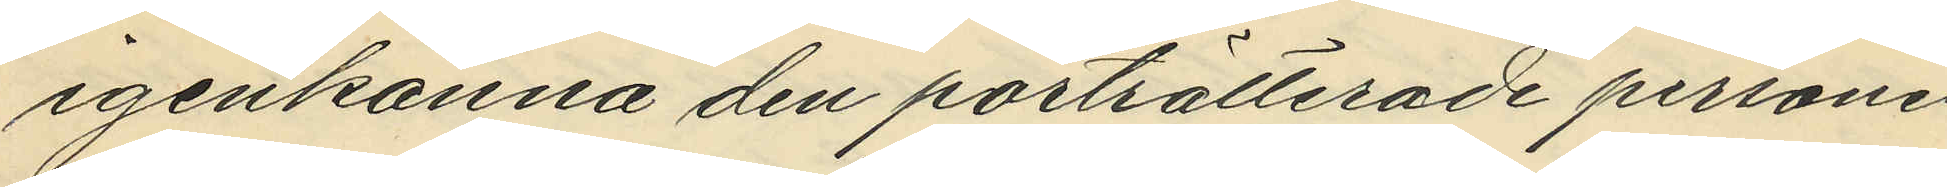igenkänna den porträtterade personen.
